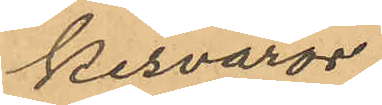kesvaror.
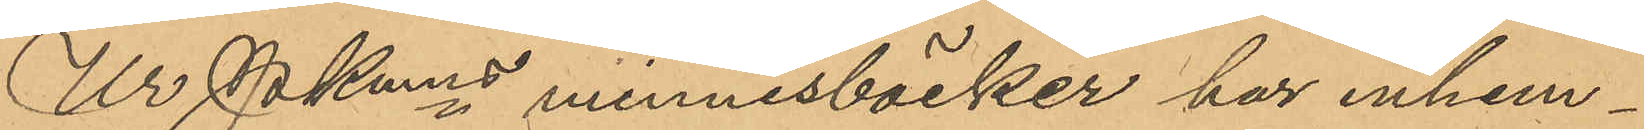Ur Pkmns minnesböcker har inhem¬
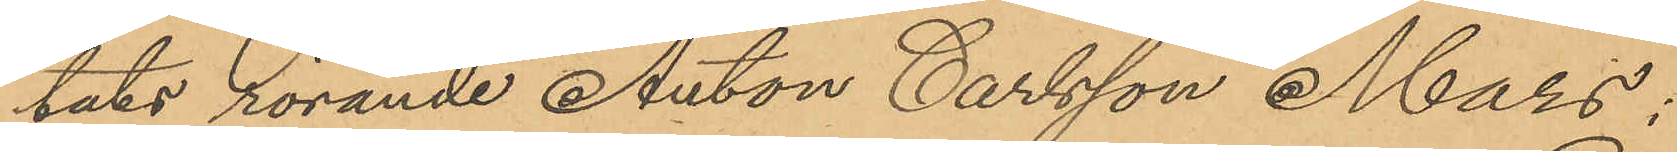tats rörande Anton Carlsson Mars;
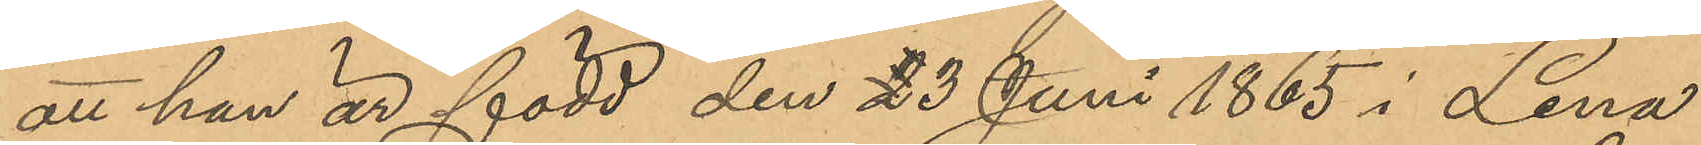att han är född den 23 Juni 1865 i Lena
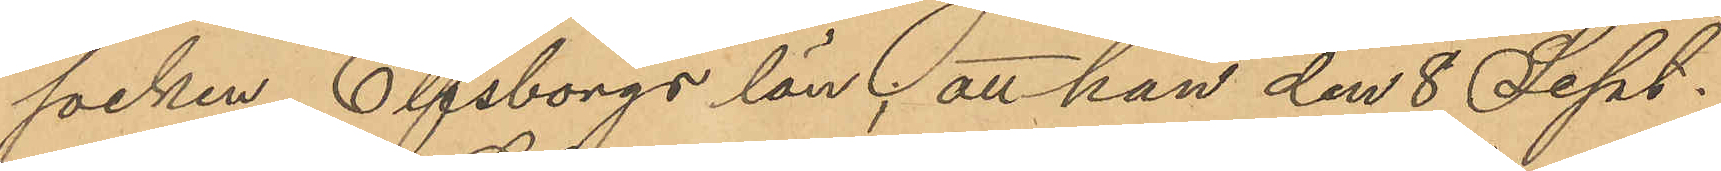socken Elfsborgs län; att han den 8 Sept.
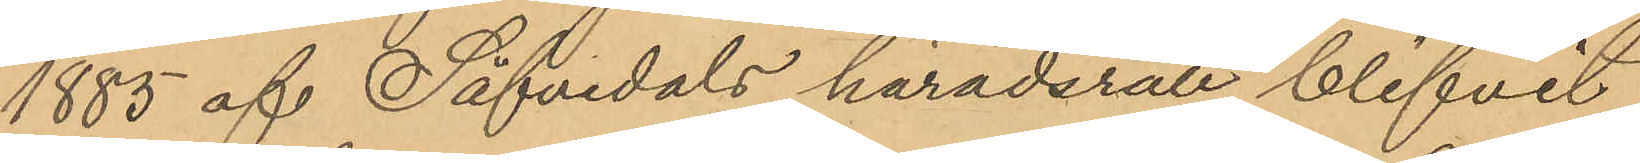1885 af Säfvedals häradsrätt blifvit
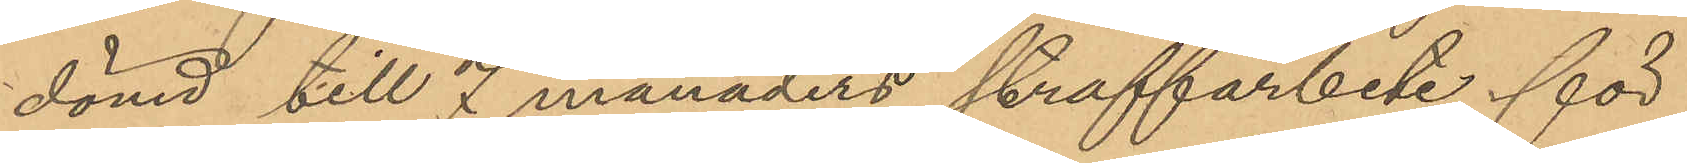dömd till 7 månaders straffarbete för
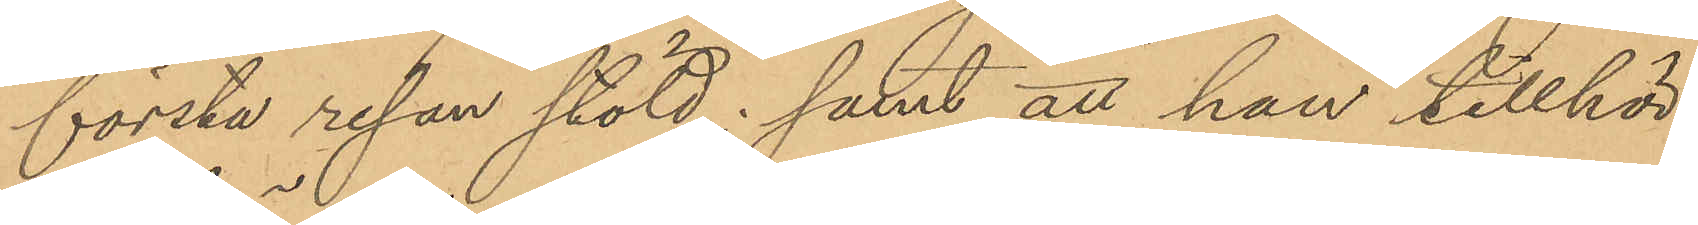första resan stöld; samt att han tillhör
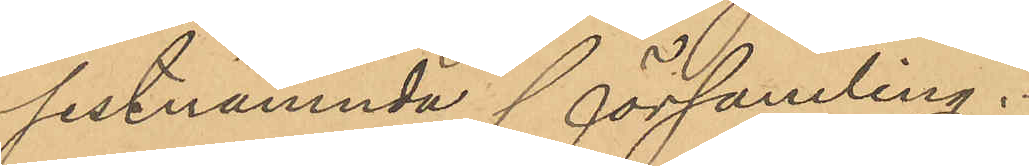sistnämnda församling.
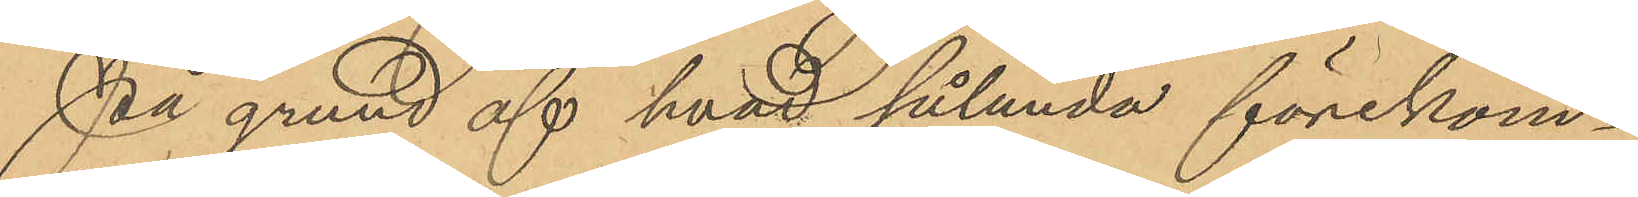På grund af hvad sålunda förekom¬
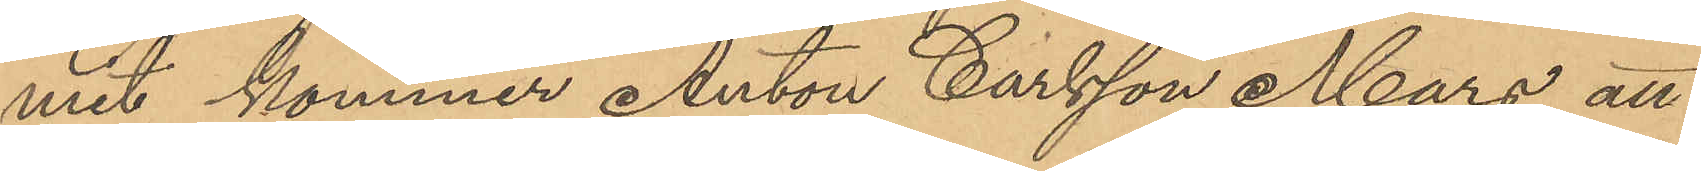mit kommer Anton Carlsson Mars att
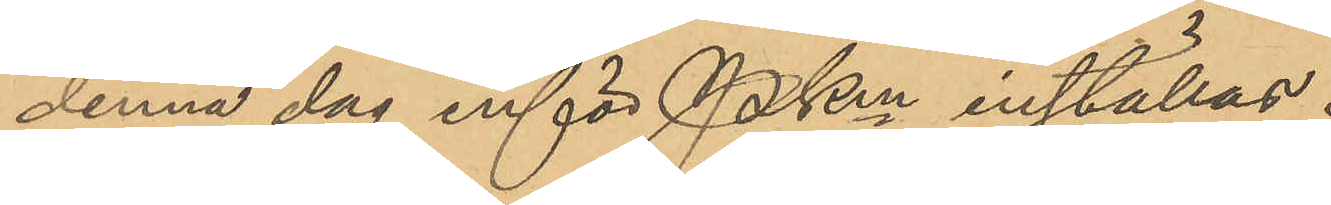denna dag inför PKm inställas.
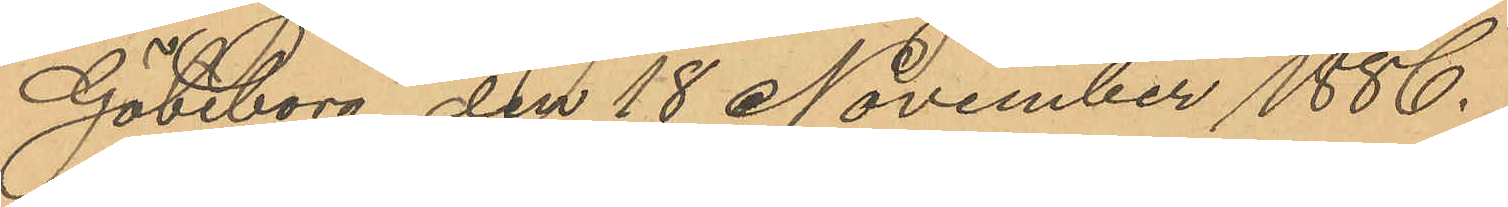Göteborg den 18 November 1886.
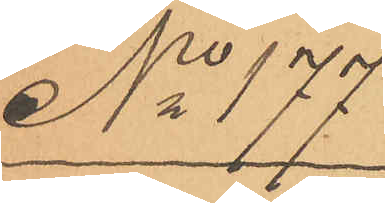No 177
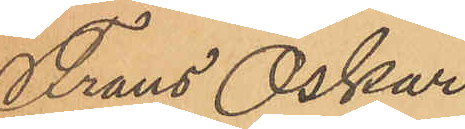Frans Oskar
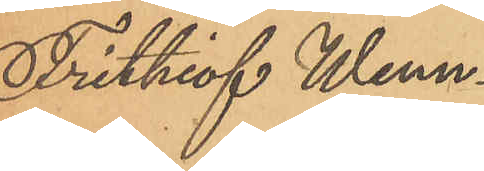Frithiof Wenn¬
